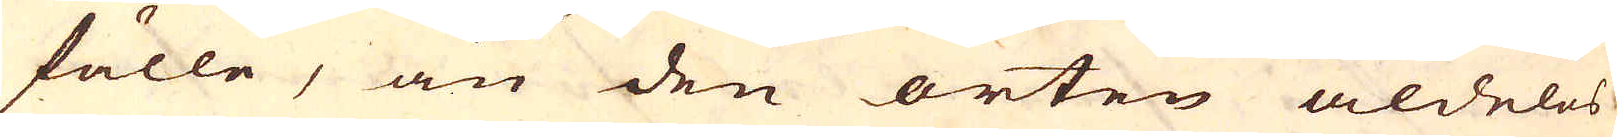fälle, än den orten aldeles
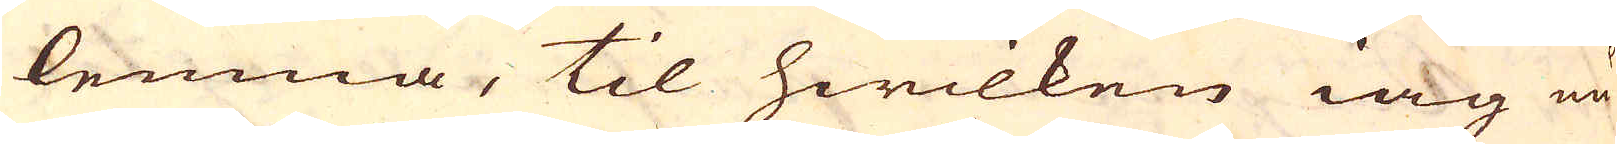lemna, til hwilken iag nu
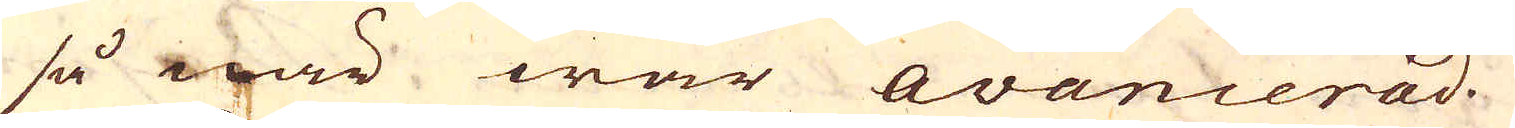så när war avancerad.
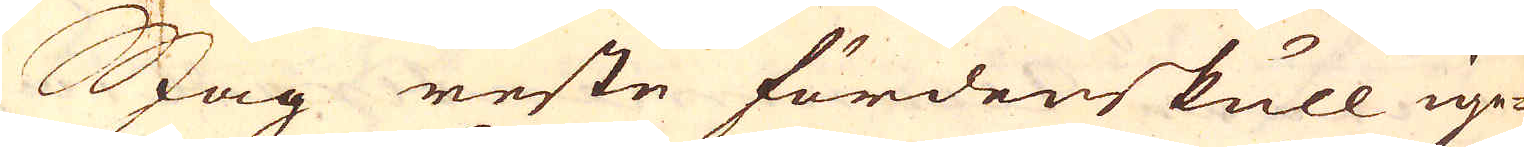Jag reste fördenskull ige-
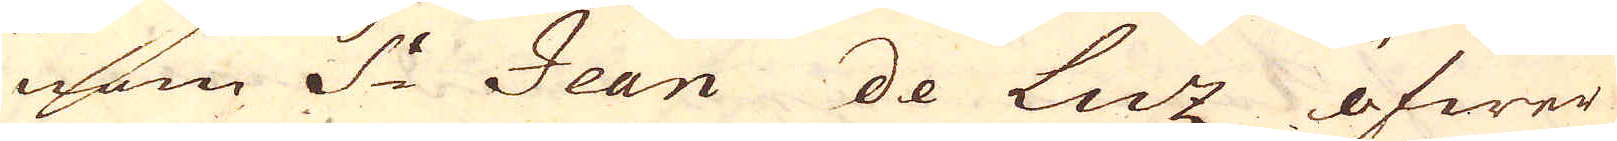nom S:t Jean de Luz öfwer
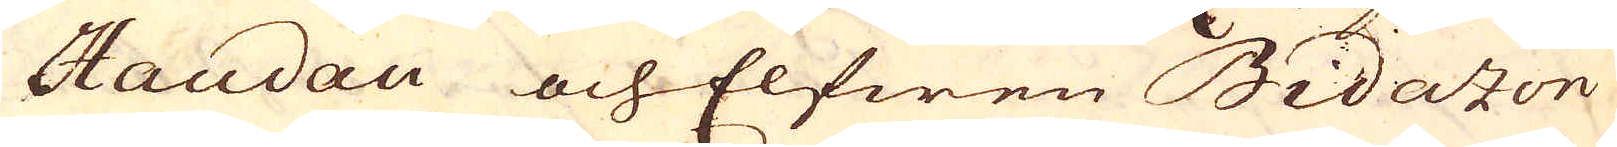Haudau och Elfwen Bidazon
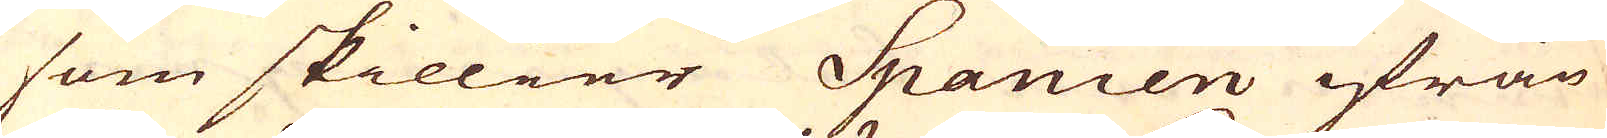som skillier Spanien ifrån
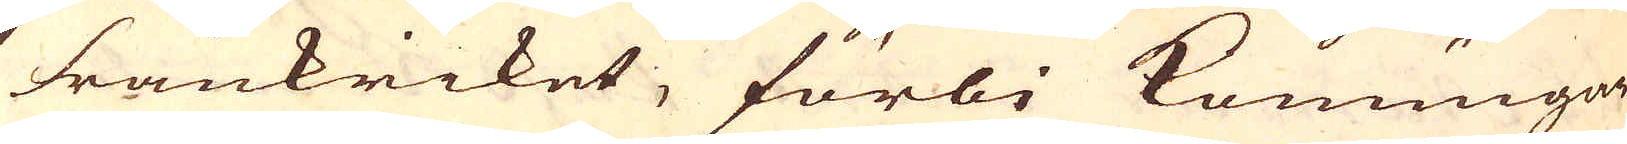Frankriket, förbi Konungar-
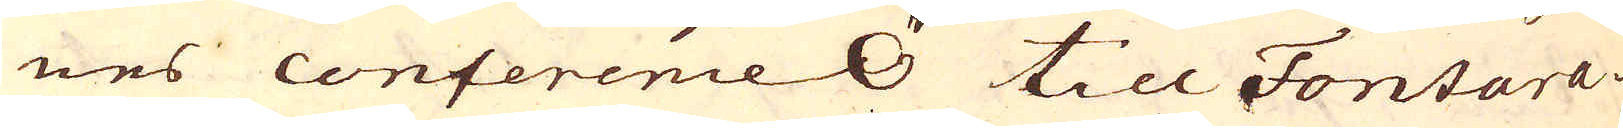nes conference Ö till Fontara-
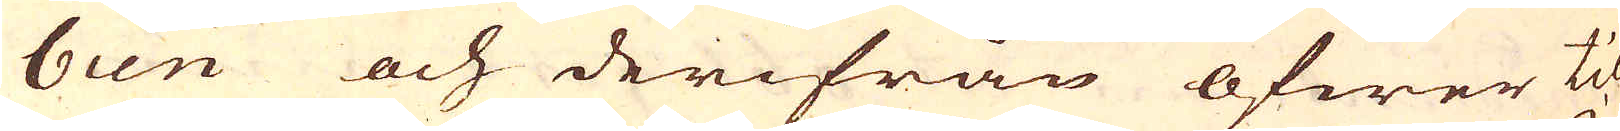bien och derifrån öfwer til
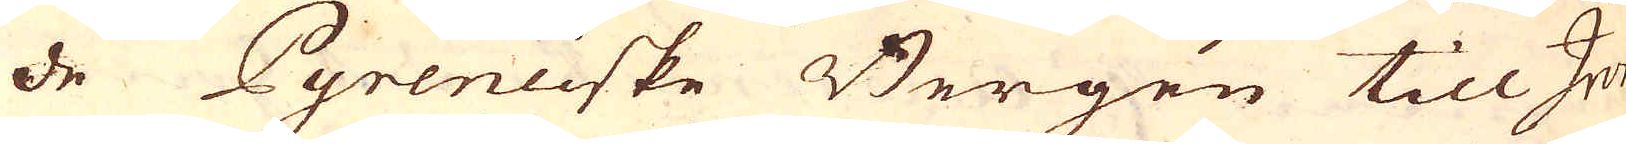de Pyreneiske Bergen till Ijon
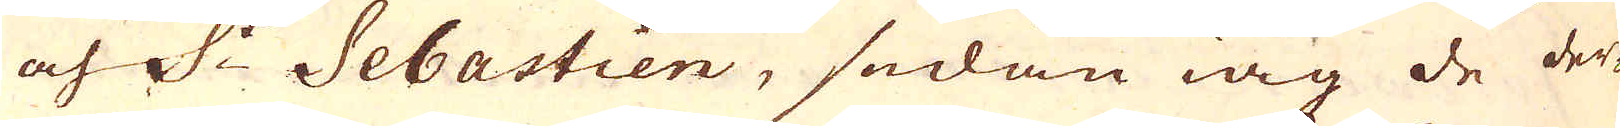och S:t Sebastien, sedan iag de der-
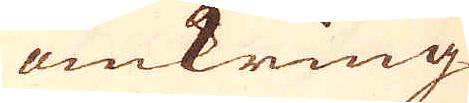omkring
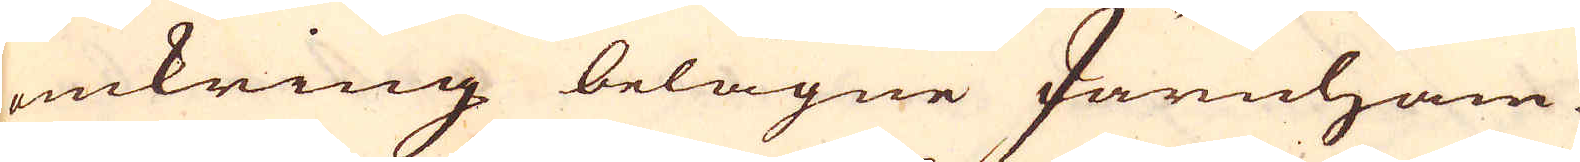omkring belägne Järnham-
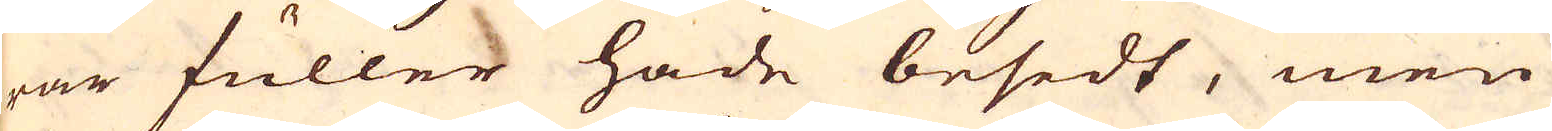rar fuller hade besedt, men
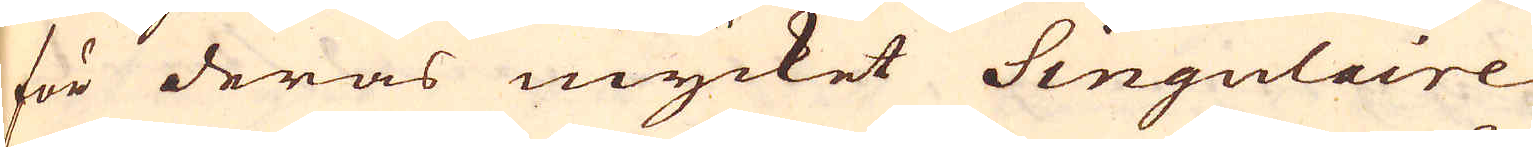för deras mycket Singulaire
